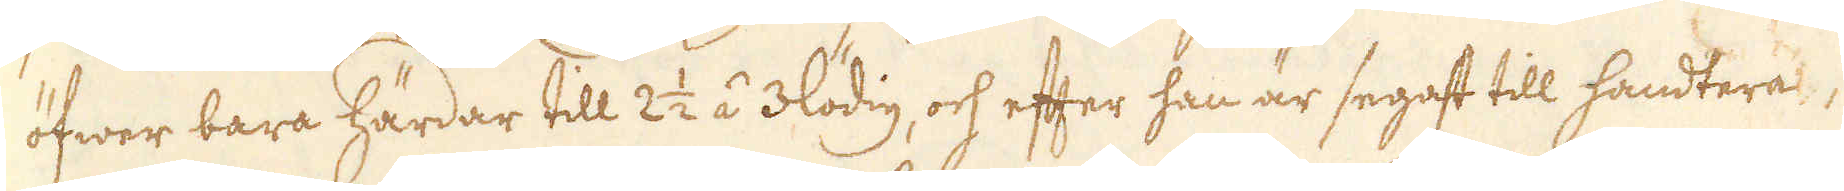öfwer bara härdar till 2 1/2 á 3lödig, och efter han är segast till handtera,
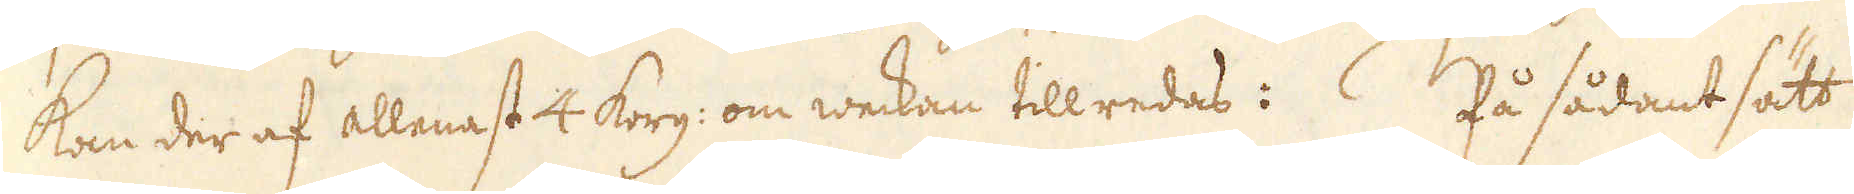kan der af allenast 4 korg: om weckan tillredas: På sådant sätt
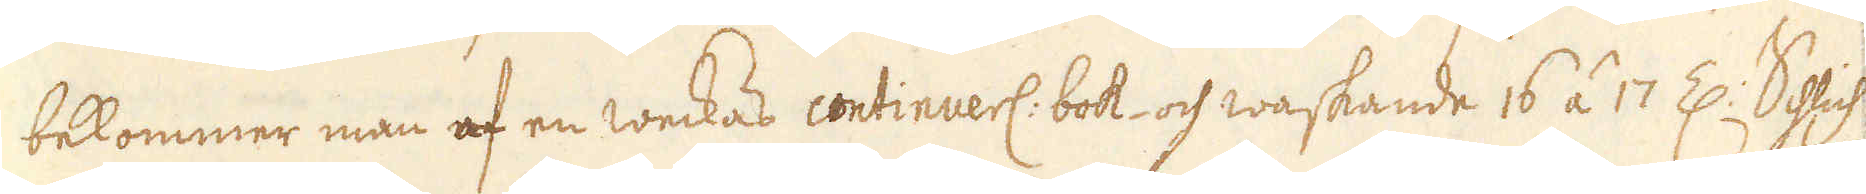bekommer man af en weckas continuerl: bok- och waskande 16 á 17 Z: Schlich
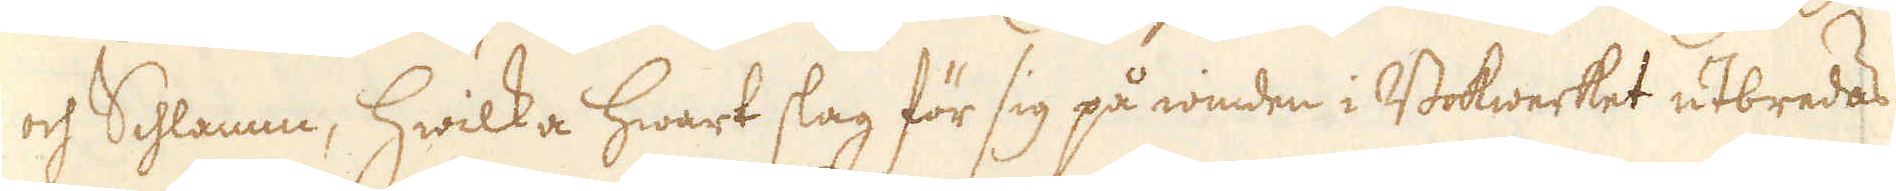och Schlamm, hwilka hwart slag för sig på winden i Bokwerket utbredas
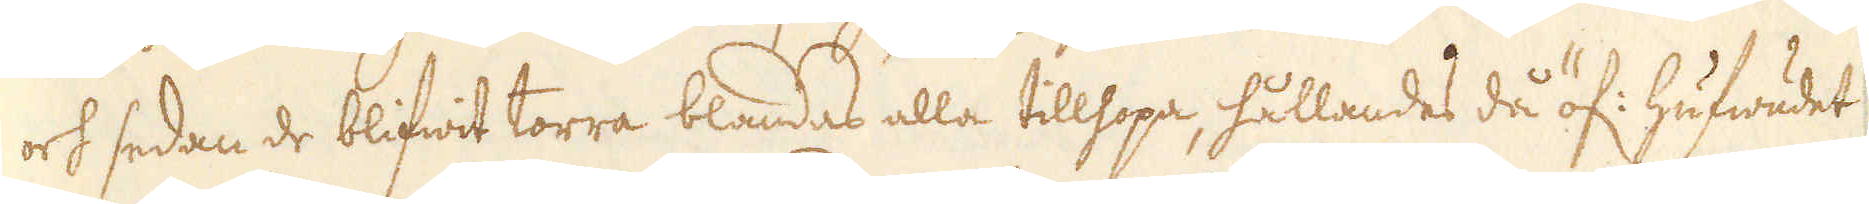och sedan de blifwit torra blandas alla tillhopa, hållandes då öf: hufwudet
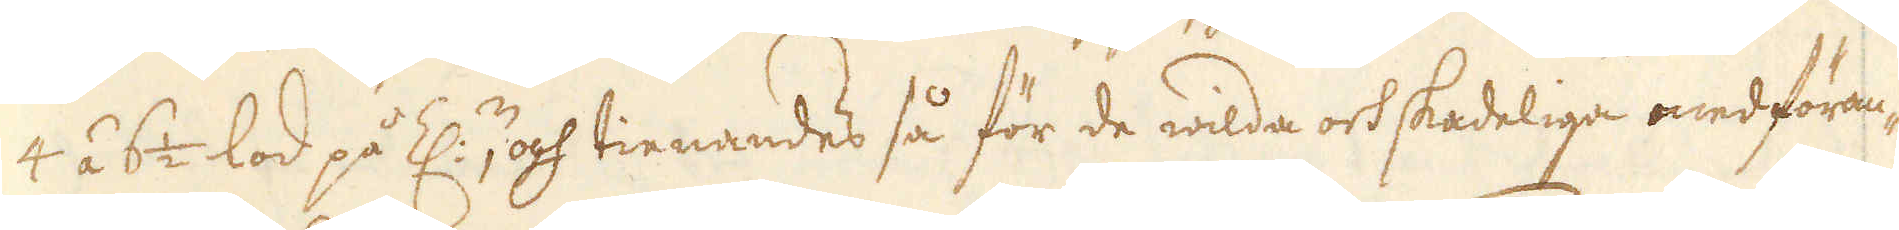4 á 6 1/2 lod på Z:n, och tienandes så för de wilda och skadeliga medföran-
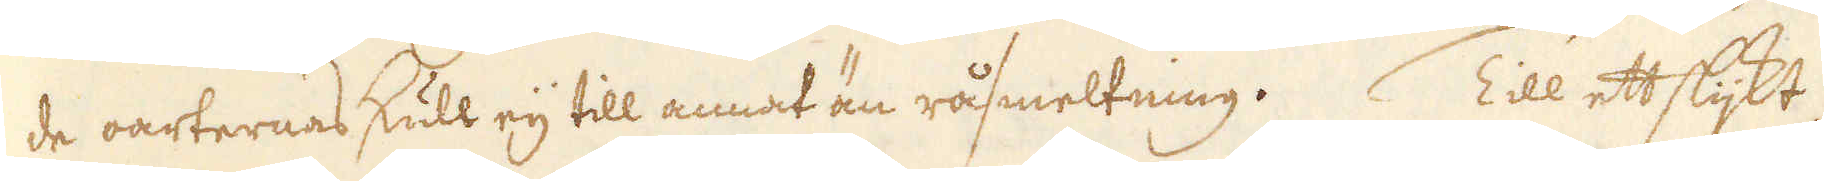de oarternas skull eij till annat än råsmeltning. Till ett slijkt
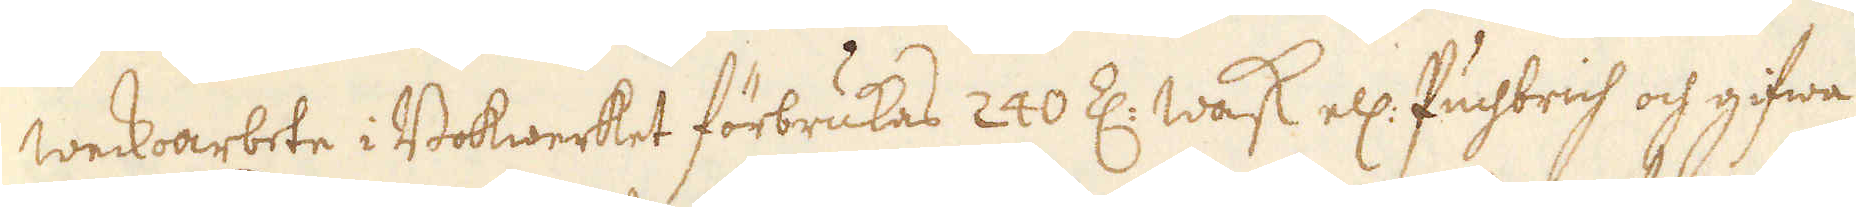weckoarbete i Bokwerket förbrukas 240 Z: Wask ell: Puchbrich och gifwa
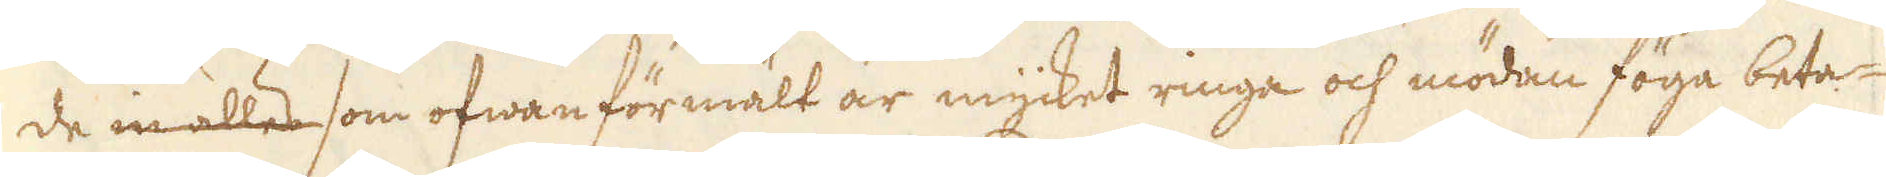de inalles som ofwan förmält är mycket ringa och mödan föga beta-
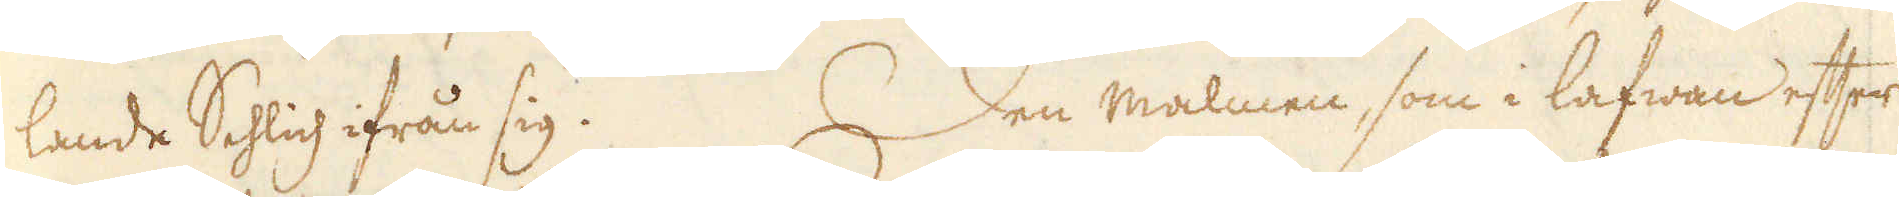lande Schlich ifrån sig. Den malmen, som i lafwan efter
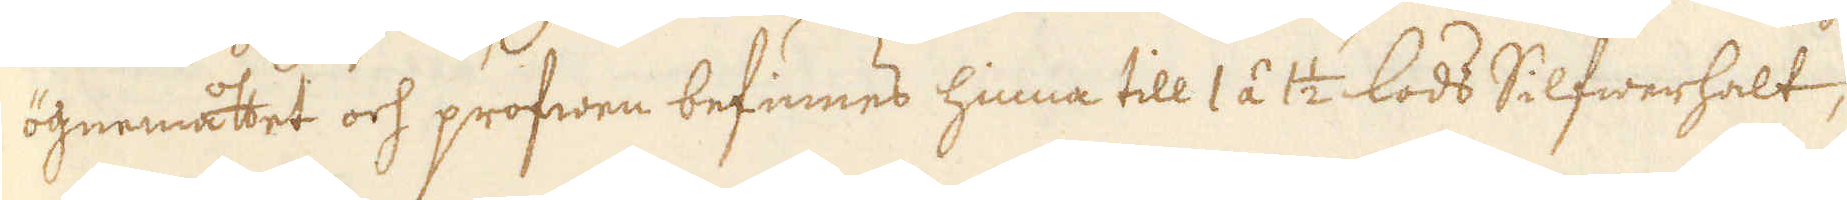ögnemåttet och profwen befinnes hinna till 1 á 1 1/2 lods Silfwerhalt,
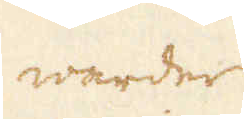warder
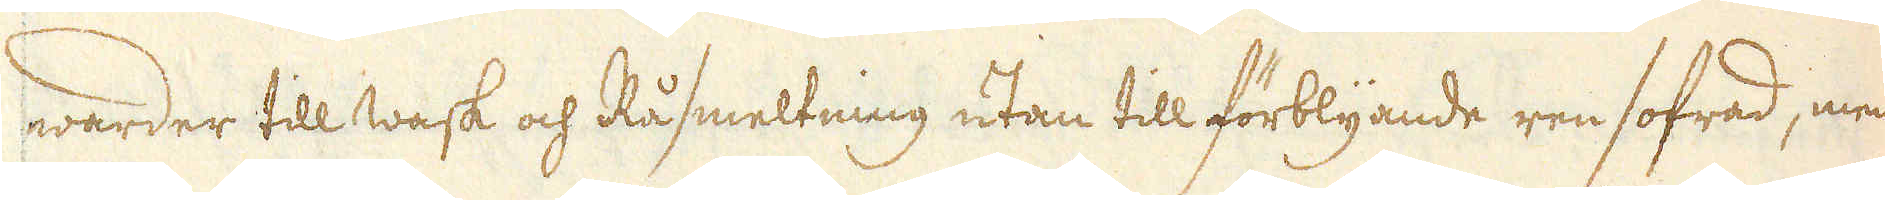warder till wask och Råsmeltning utan till förblyande ren sofrad, men
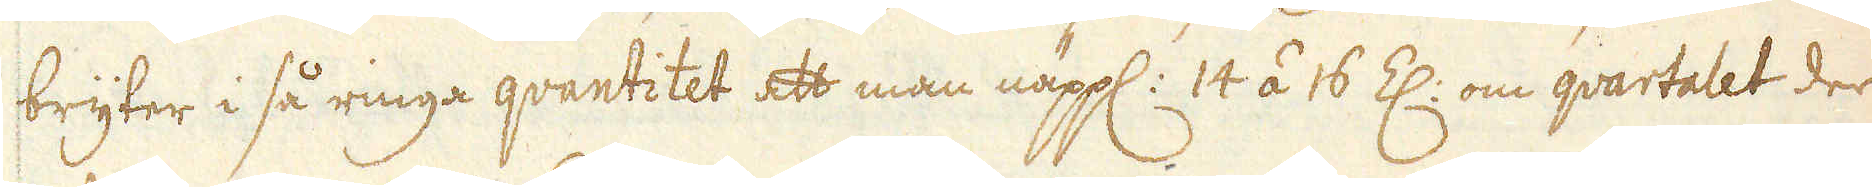bryter i så ringa qvantitet att man näppl: 14 á 16 Z: om qvartalet der
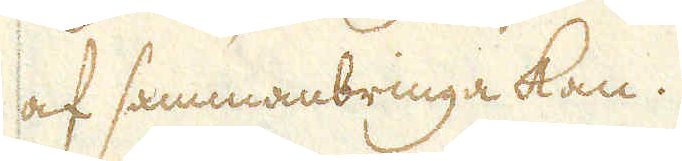af sammanbringa kan.
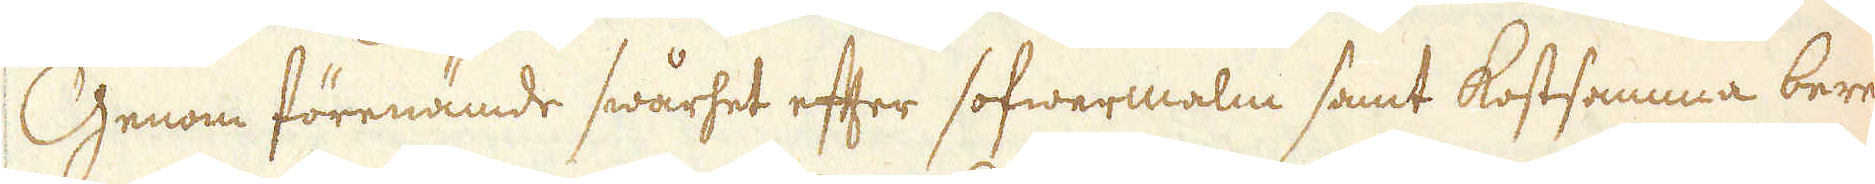Genom förenämde swårhet efter sofwermalm samt kostsamma bere-
